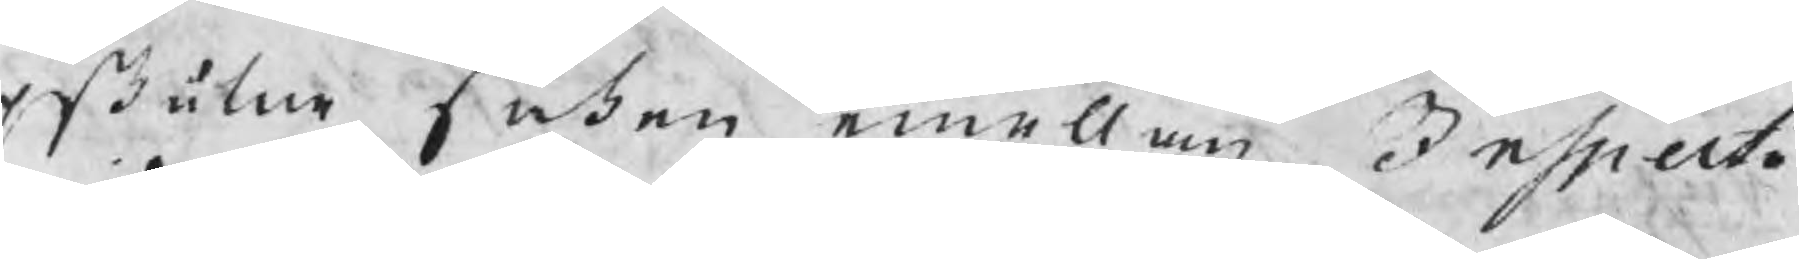pskutne saken emellan Inspecto¬
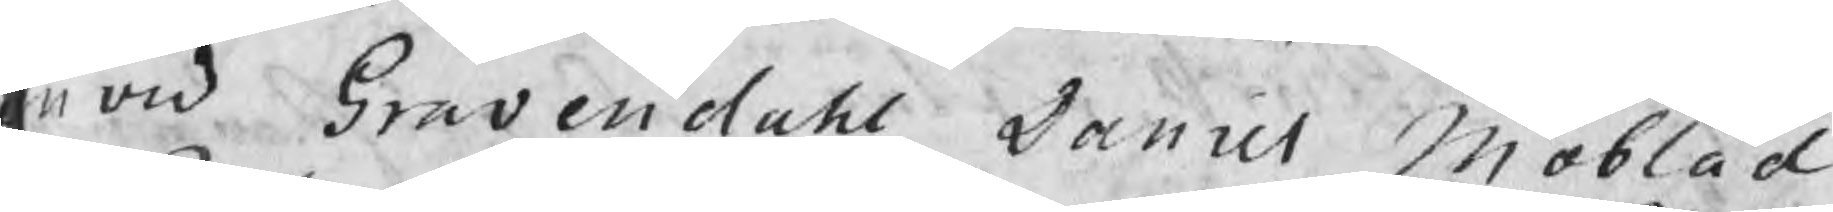n wid Gravendahl Daniel Moblad
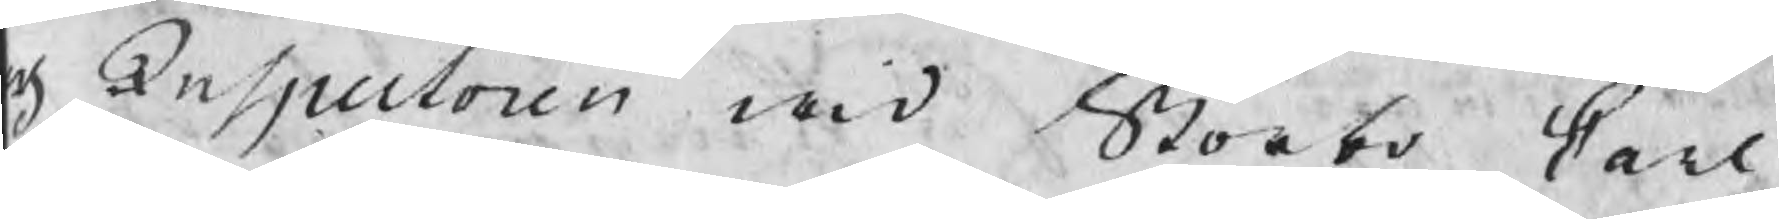ch Inspectoren wid Storbo Carl
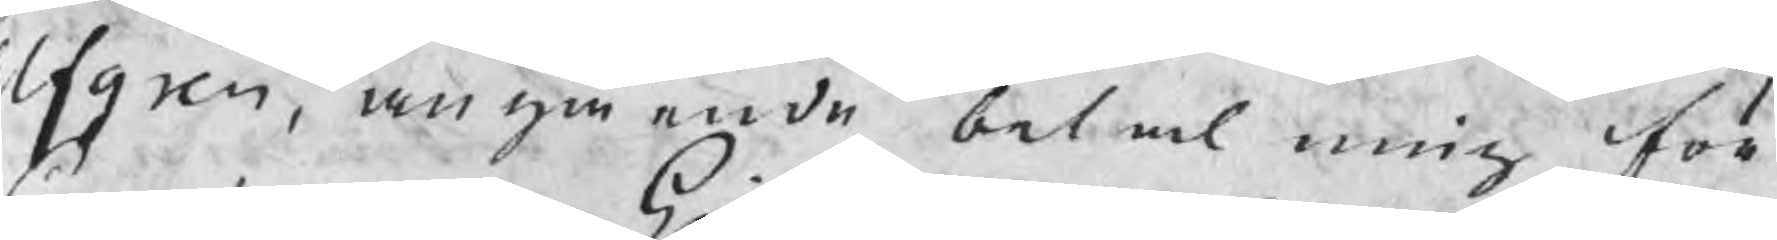Elfgren, angående betalning för
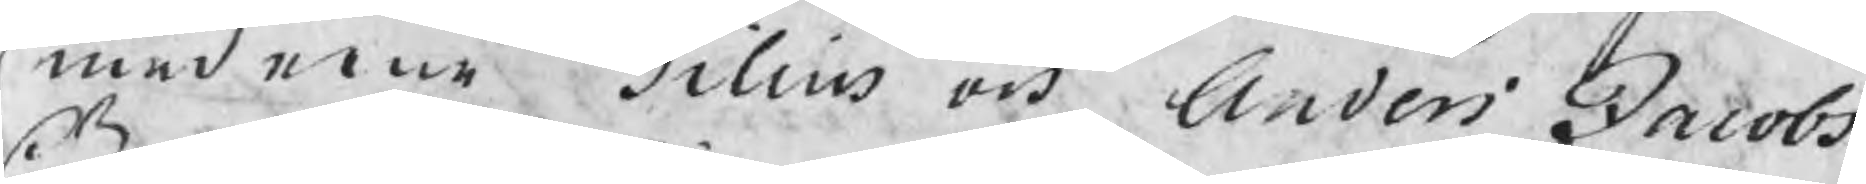smederne Gilius och Anders Jacobs
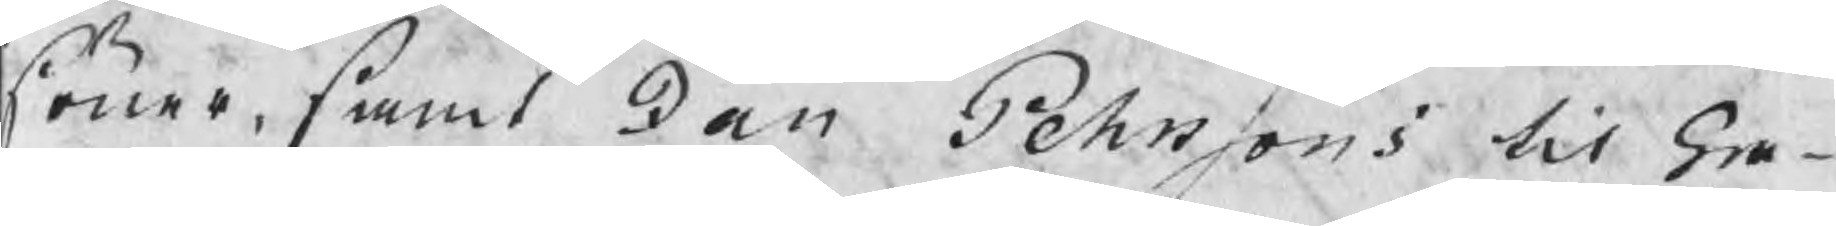söner, samt Jan Pehrssons til Gra¬
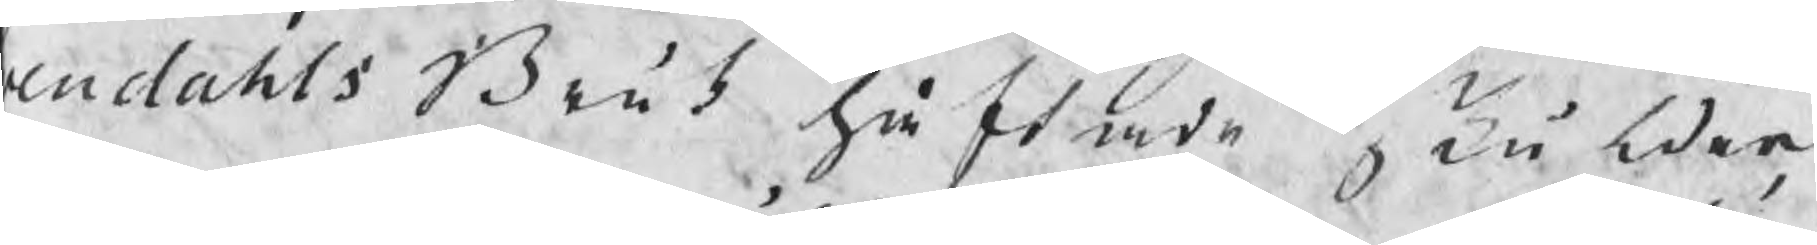endahls Bruk häftade skulder,
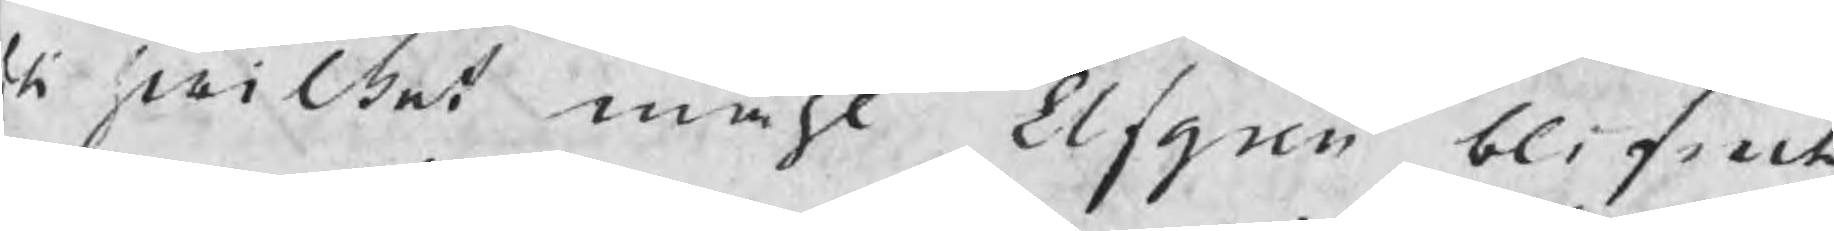ti hwilket måhl Elfgren blifwit
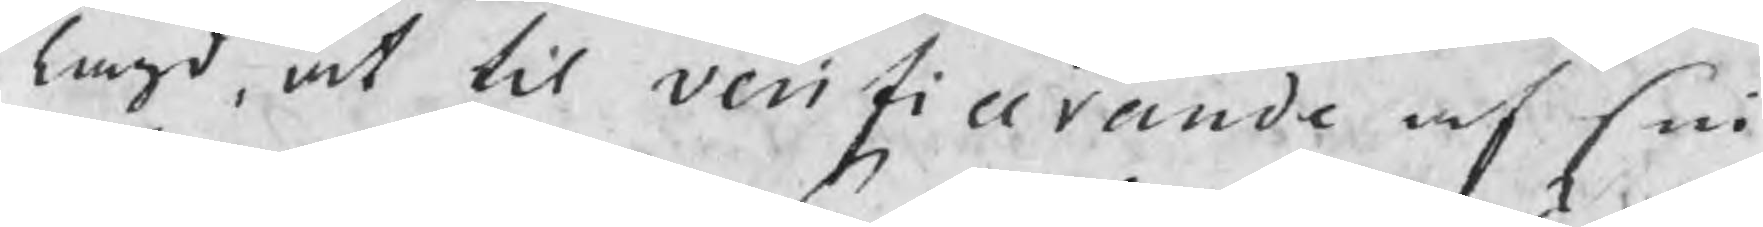lagd, at til verifierande af sin
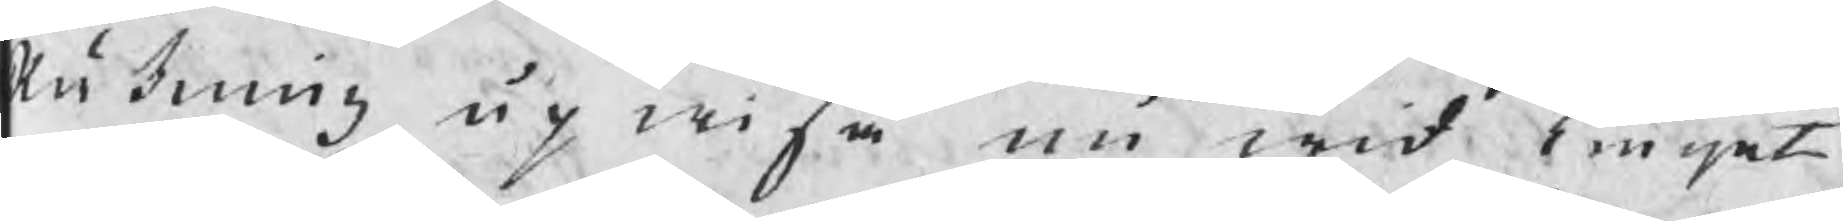Räkning upwisa nu wid Tinget
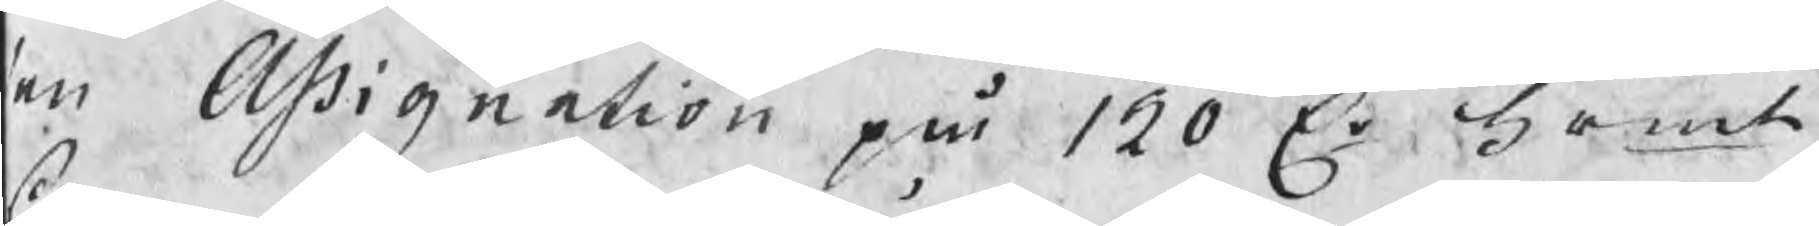en Assignation på 120 Cr Srmt, 
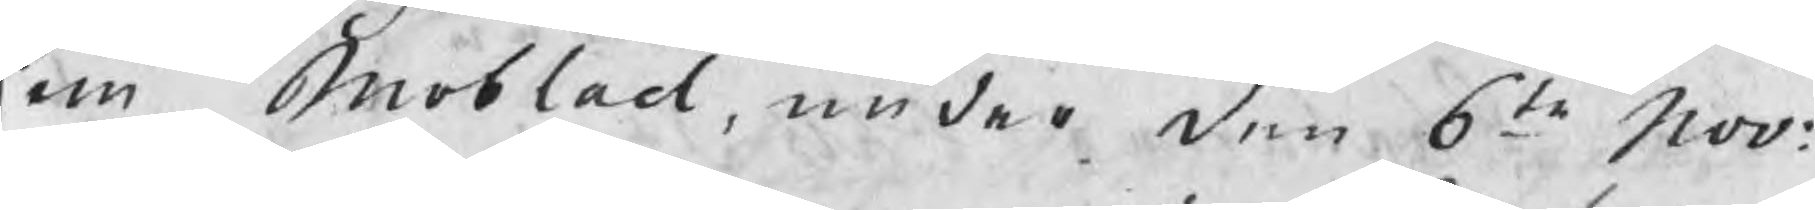som Moblad, under den 6te Nov:
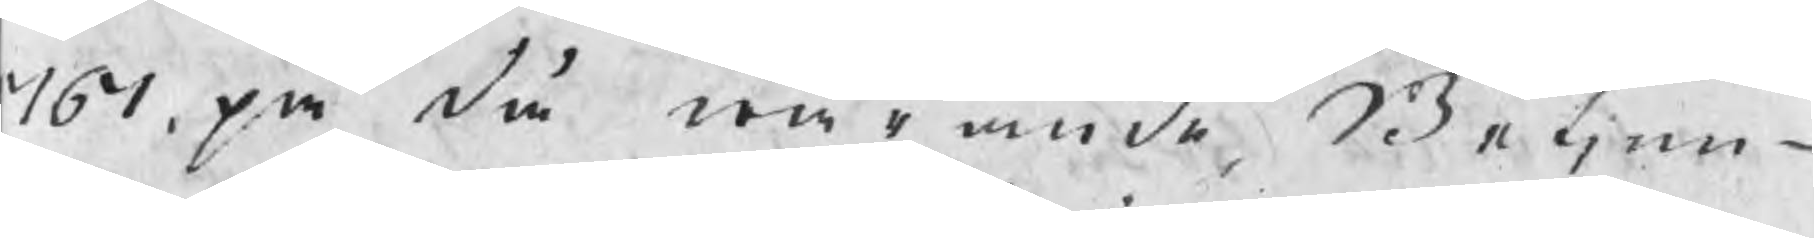767, på då warande Betjen¬
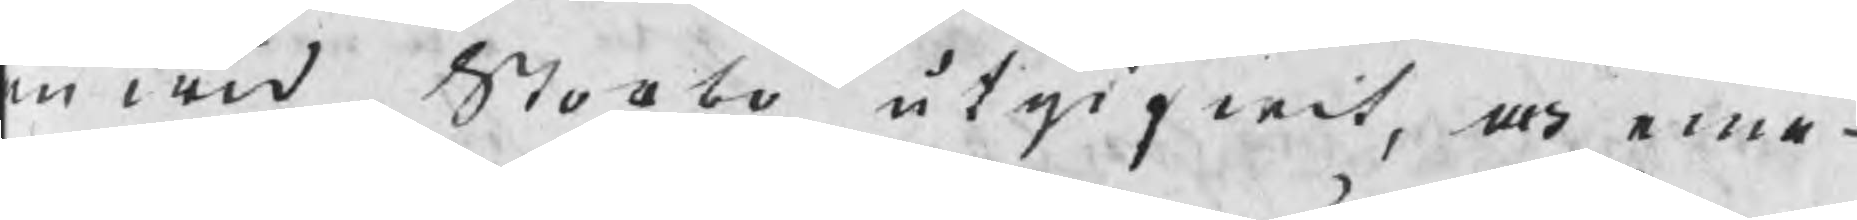n wid Storbo utgifwit, och eme¬
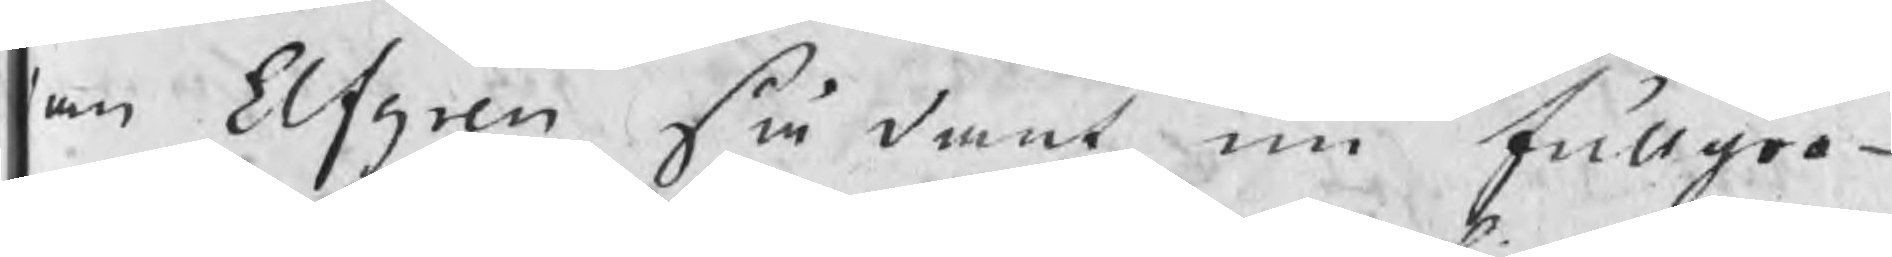an Elfgren sådant nu fullgor¬
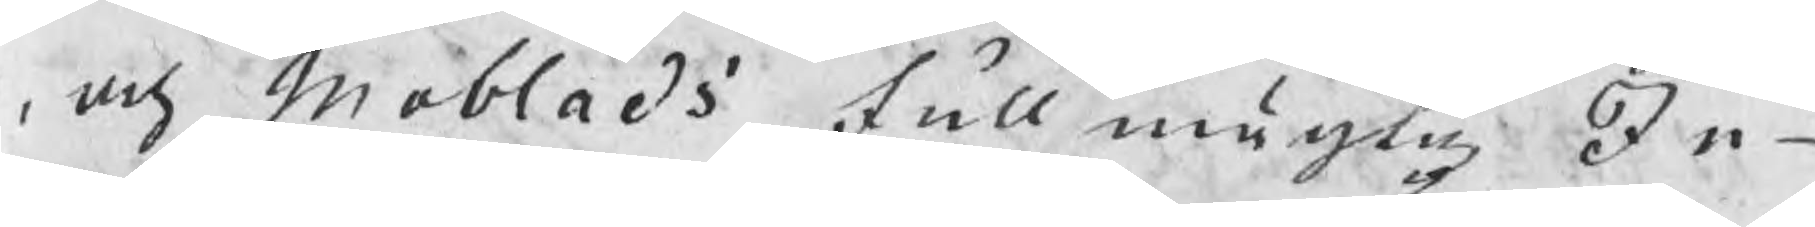, och Moblads fullmägtig In¬
